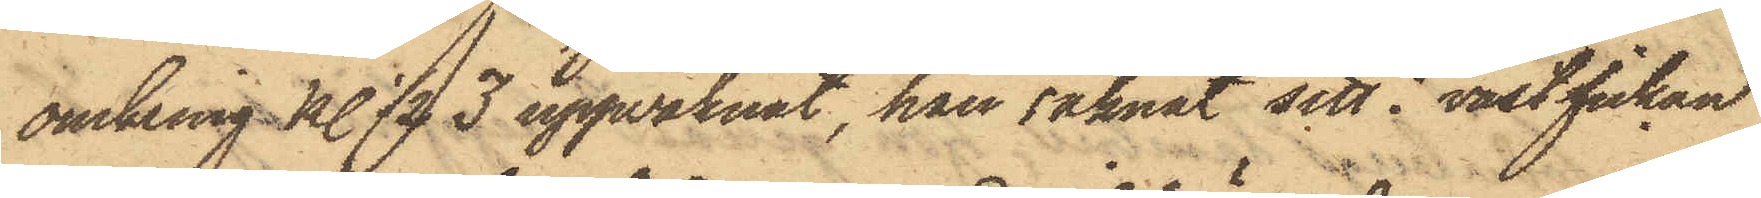omkring kl. 1/2 3 uppvaknat, han saknat sitt i västfickan
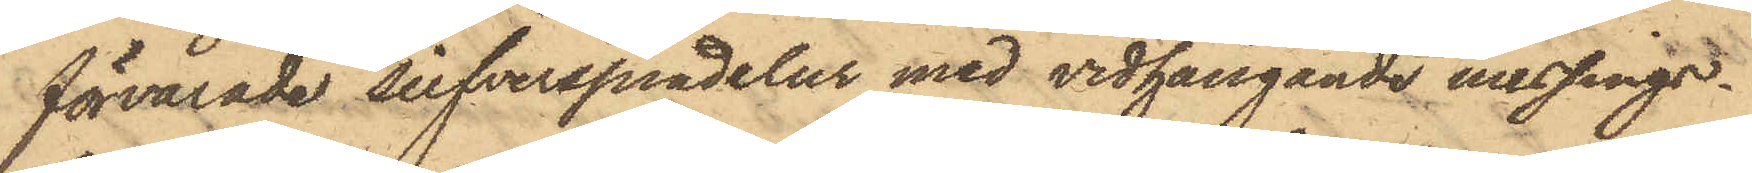förvarade silfverspindelur med vidhängande messings¬
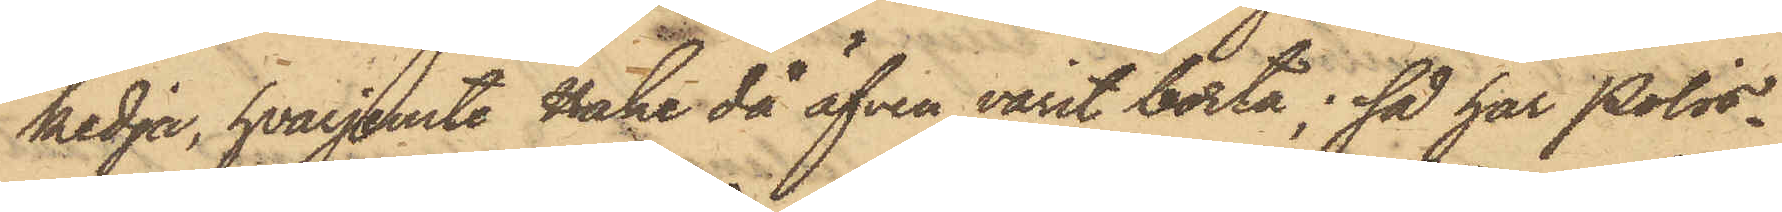kedja, hvarjemte Hake då äfven varit borta; så har Polis¬
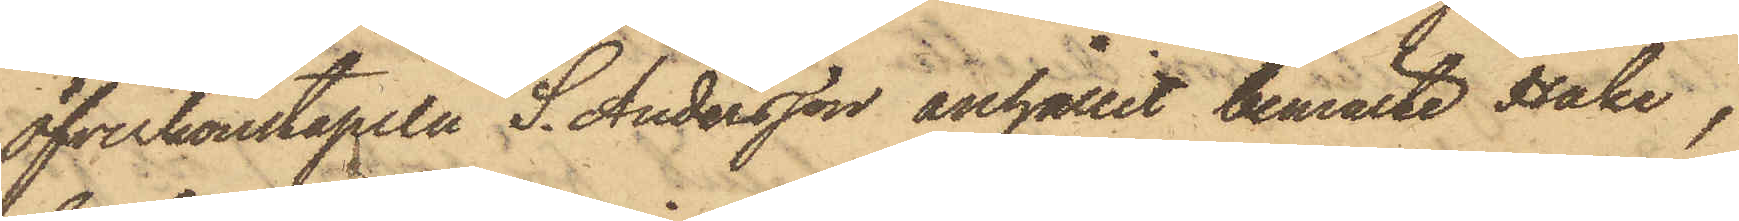öfverkonstapeln S. Andersson anhållit bemälte Hake,
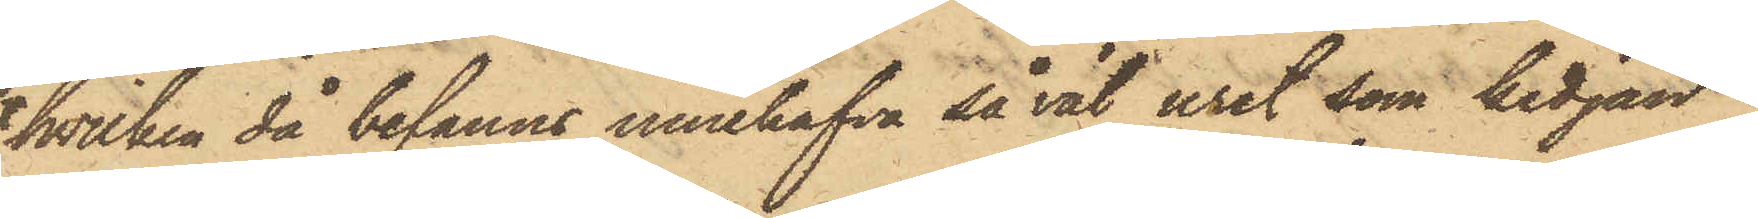hvilken då befanns innehafva så väl uret som kedjan;
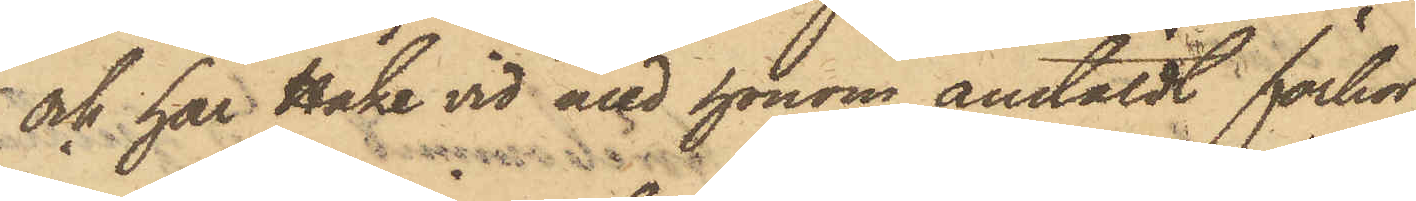och har Hake vid med honom anstäldt förhör,
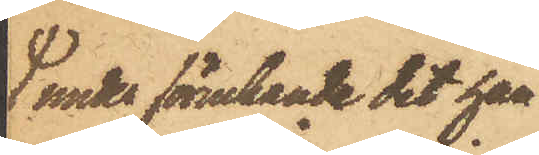under förnekande det han
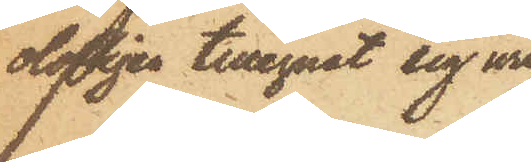olofligen tillegnat sig uret
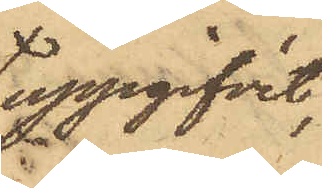uppgifvit,
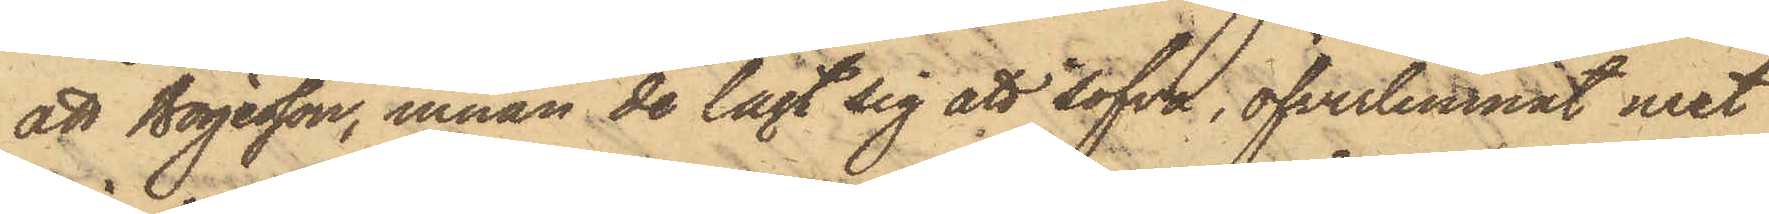att Börjesson, innan de lagt sig att sofva, öfverlemnat uret
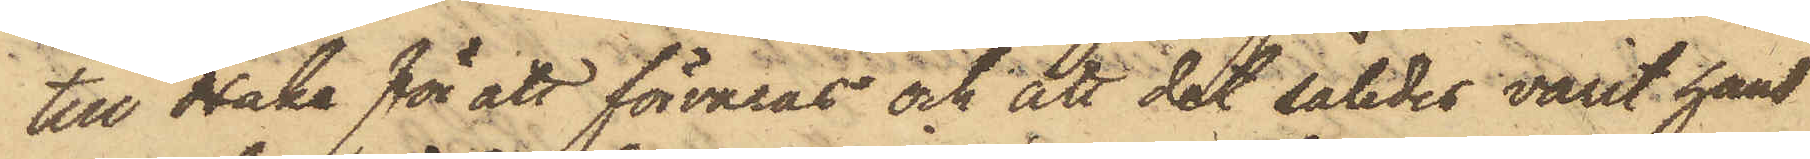till Hake för att förvaras och att det således varit hans
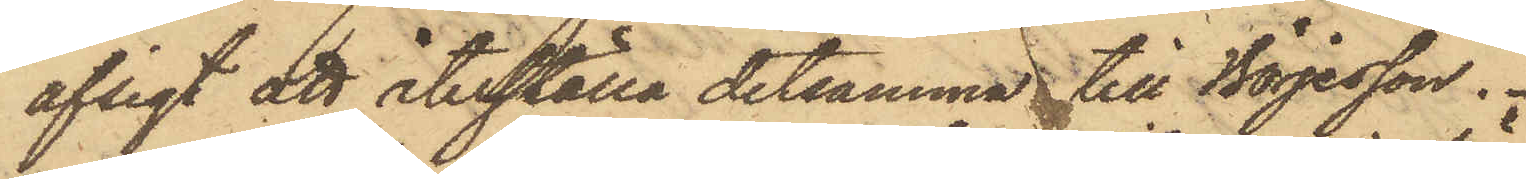afsigt att återställa detsamma till Börjesson.
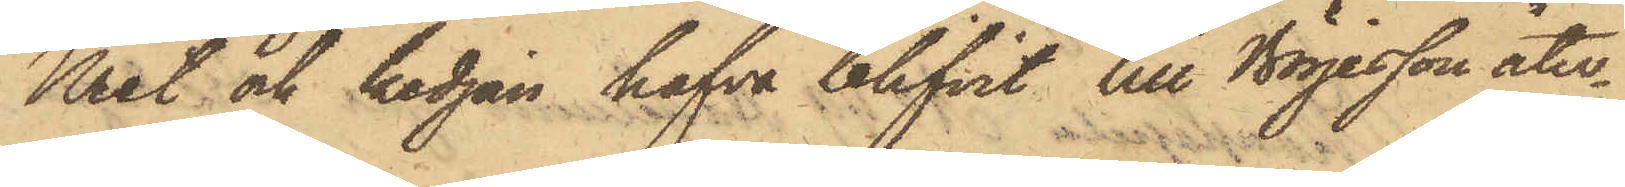Uret och kedjan hafva blifvit till Börjesson åter¬
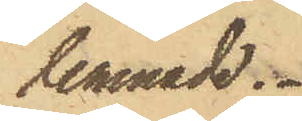lemnade.
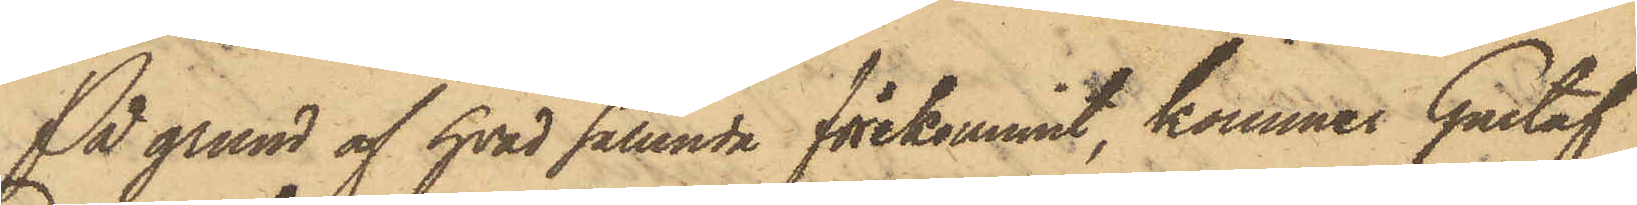På grund af hvad sålunda förekommit, kommer Gustaf
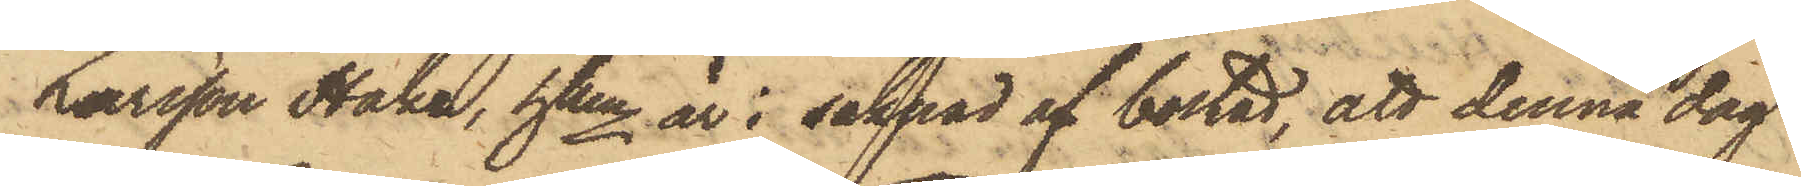Larsson Hake, hken är i saknad af bostad, att denna dag
